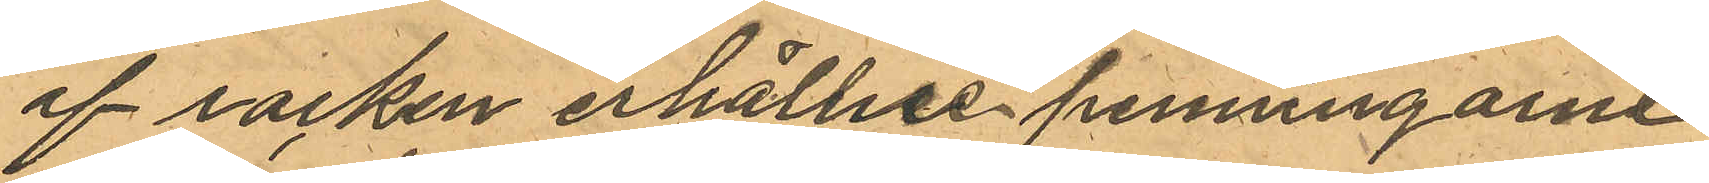af rocken erhållne penningarne
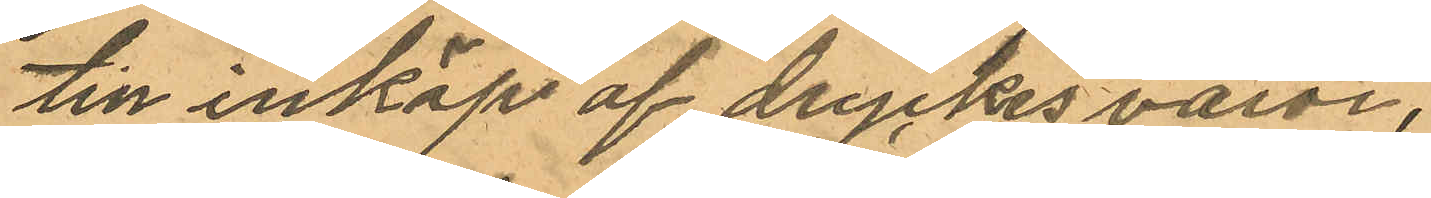till inköp af dryckesvaror.
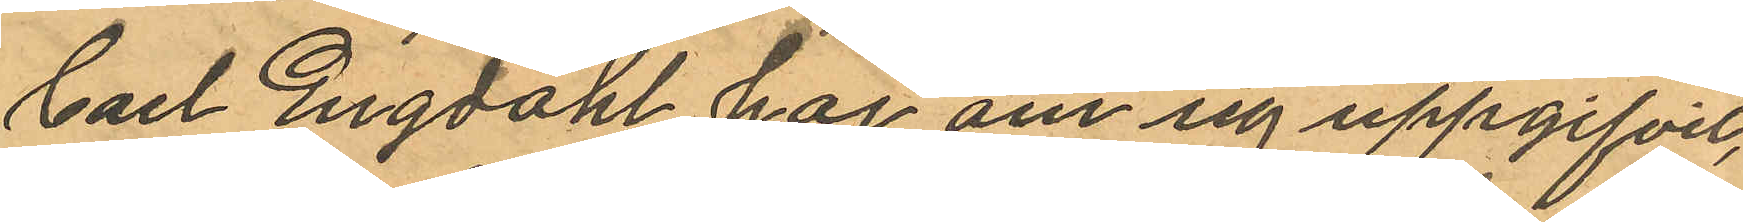Carl Engdahl har om sig uppgifvit,
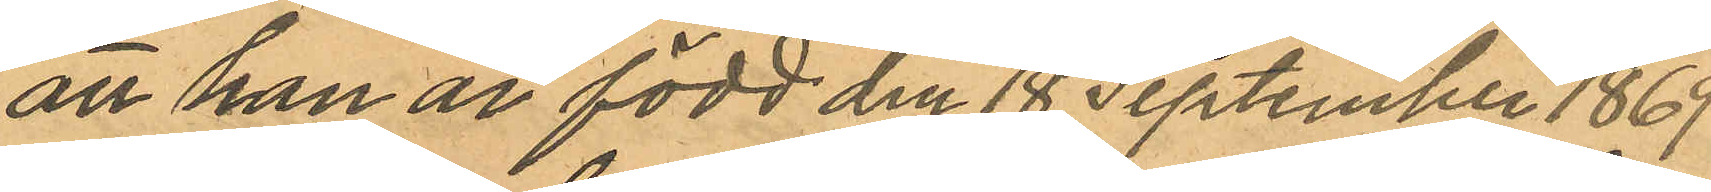att han är född den 18 September 1869
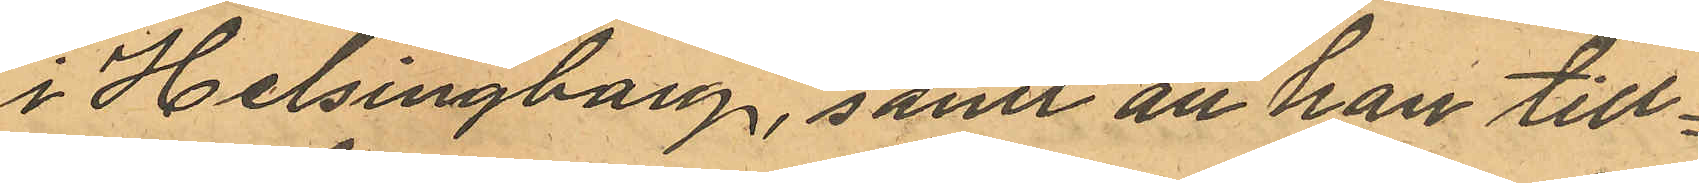i Helsingborg, samt att han till¬
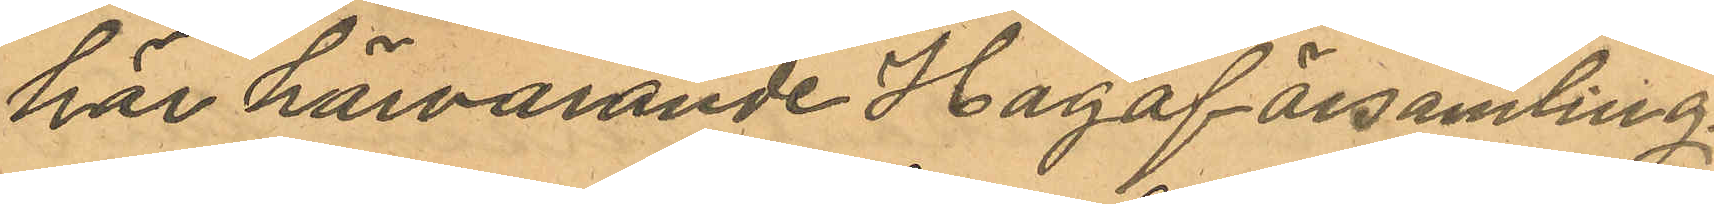hör härvarande Haga församling.
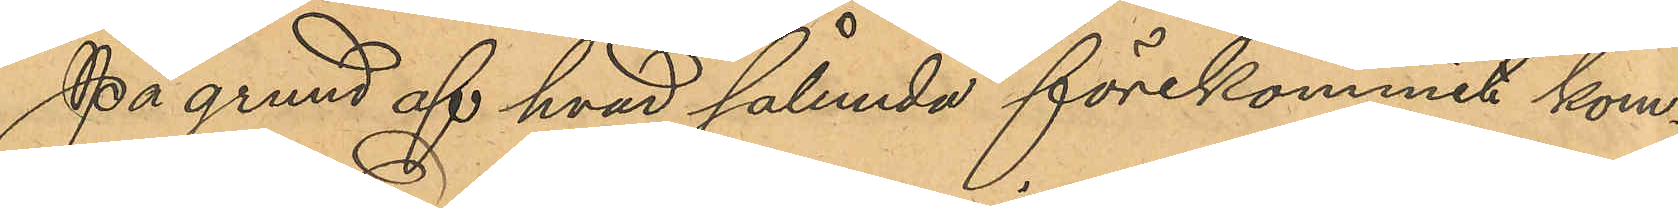På grund af hvad sålunda förekommit kom¬
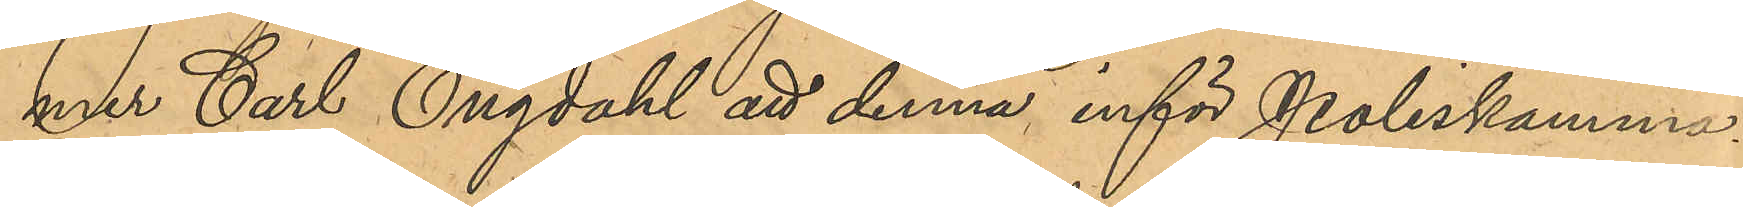mer Carl Engdahl att denna inför Poliskamma¬
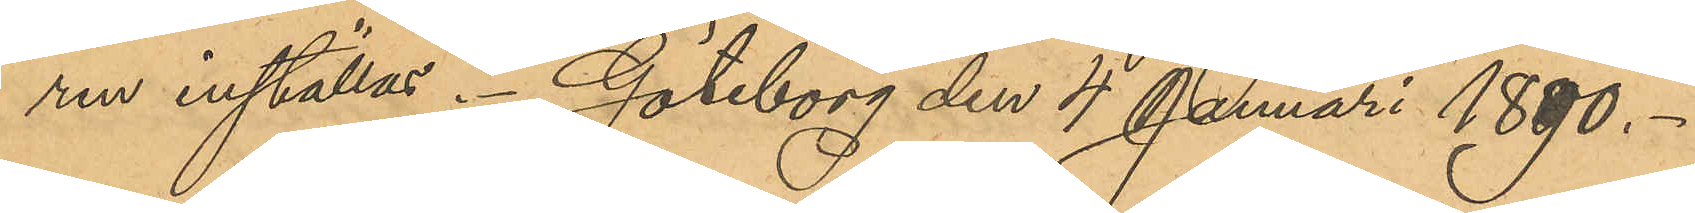ren inställas. Göteborg den 4 Januari 1890.
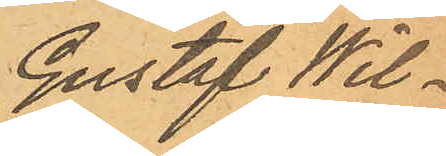Gustaf Wil¬
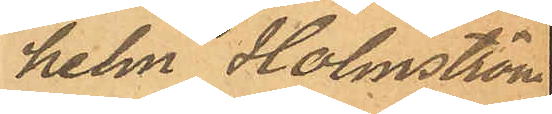helm Holmström
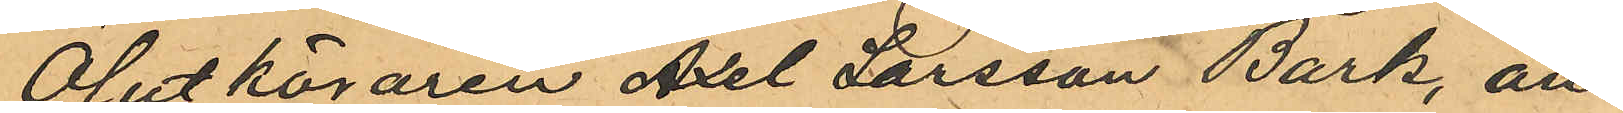Ölutköraren Axel Larsson Bark, an¬
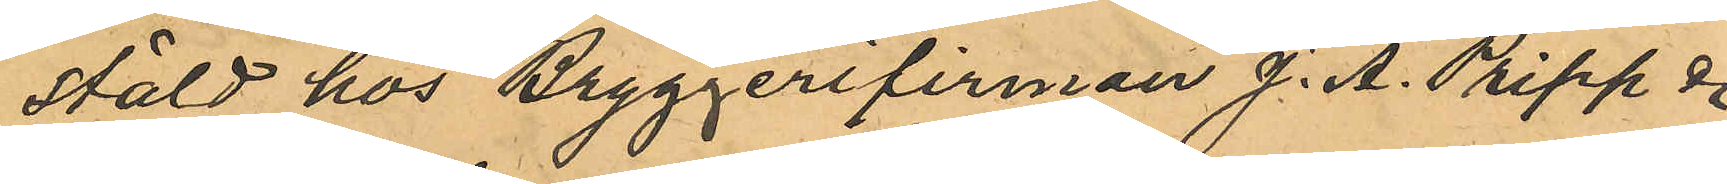stäld hos Bryggerifirman J. A. Pripp &
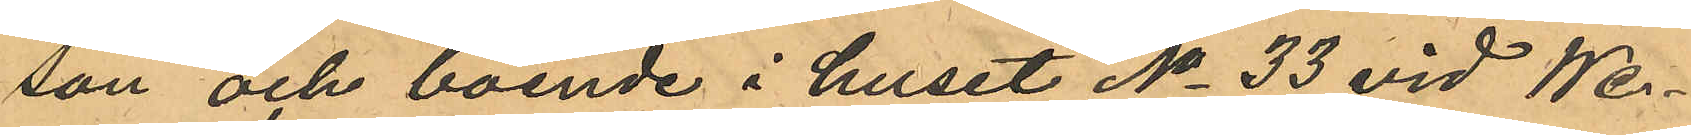son och boende i huset No 33 vid We¬
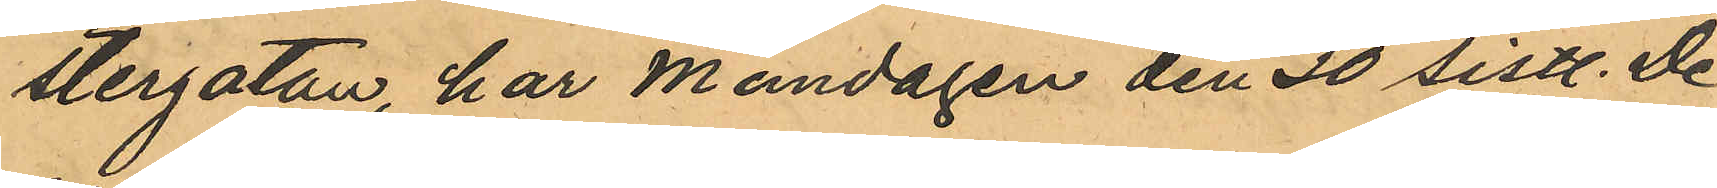stergatan, har Måndagen den 30 sistl. De
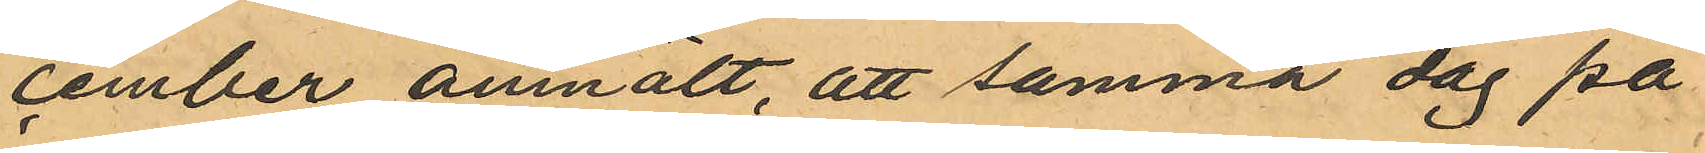cember anmält, att samma dag på
